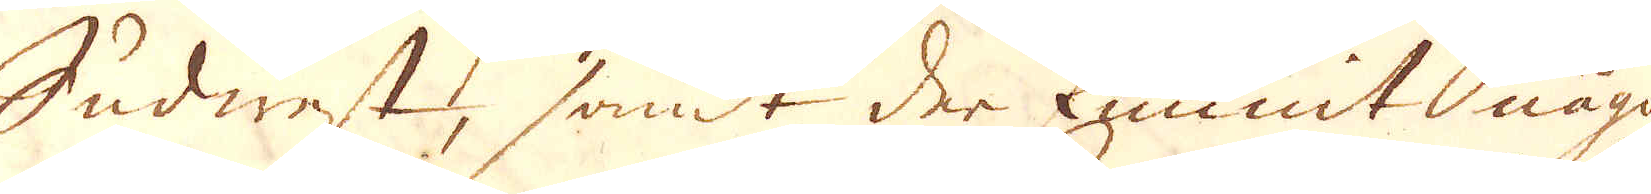Sudwest, samt der funnit någon
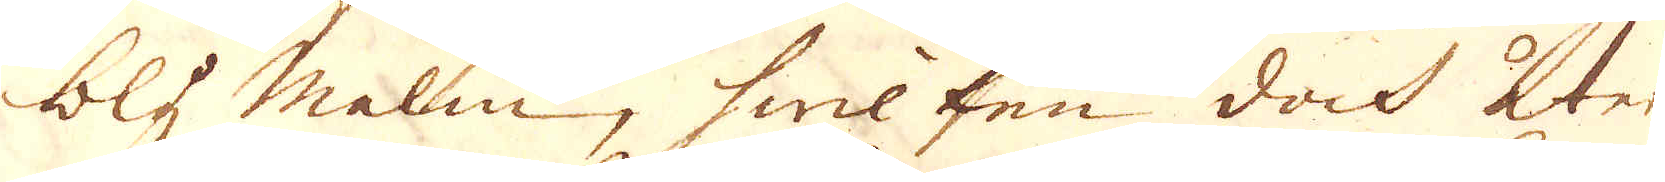bly malm, hwilken doch åter
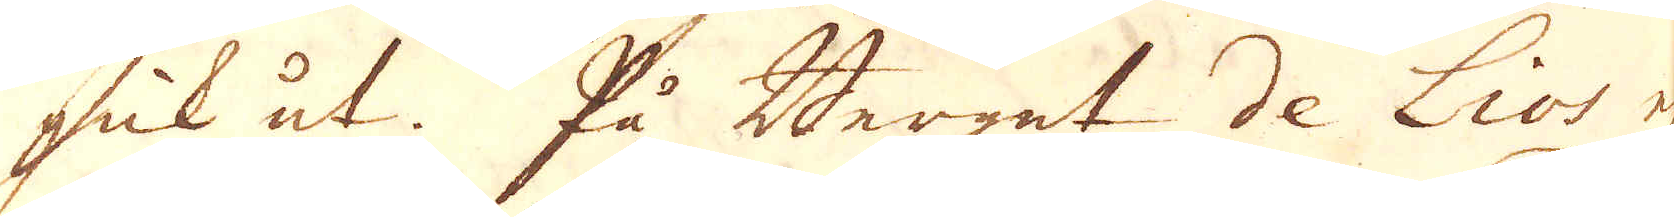gick ut. På Berget de Lios ej
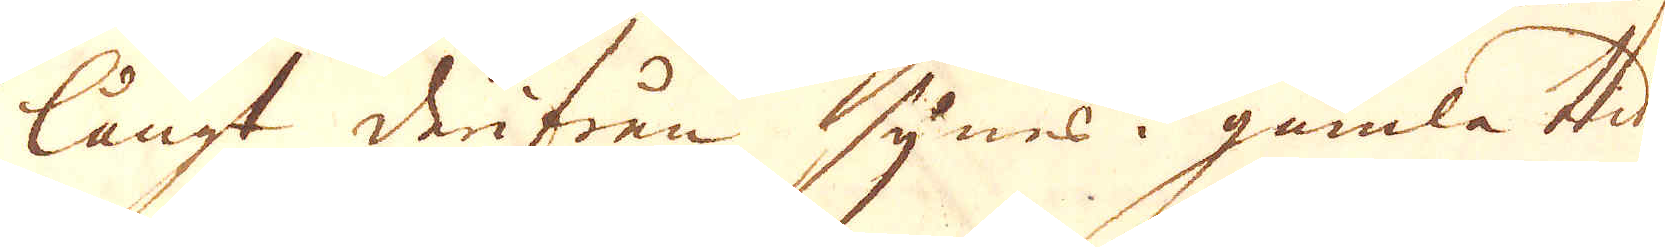långt derifrån synes i gamla tider
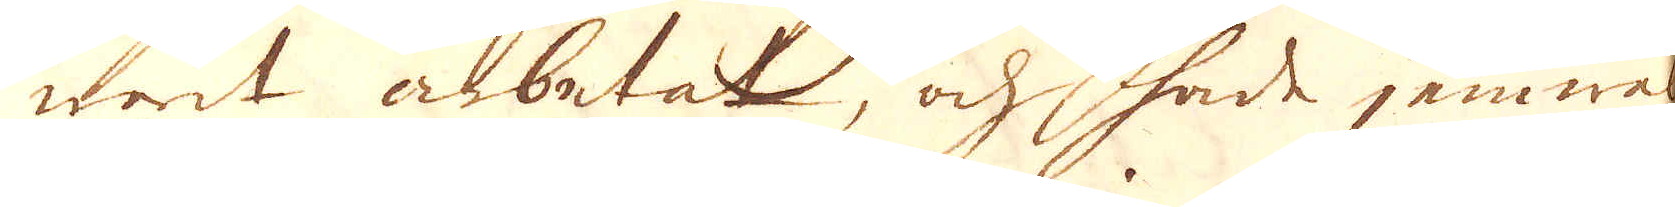warit arbetat, och hade jemwäl
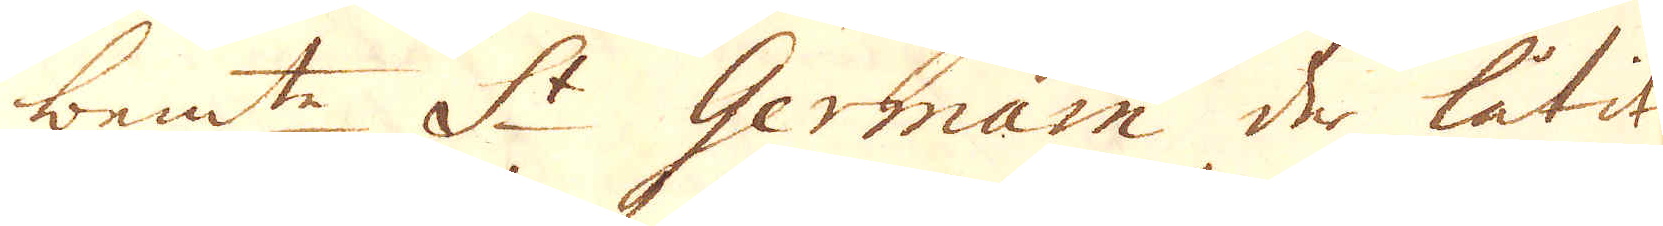bem:te St Germain der låtit
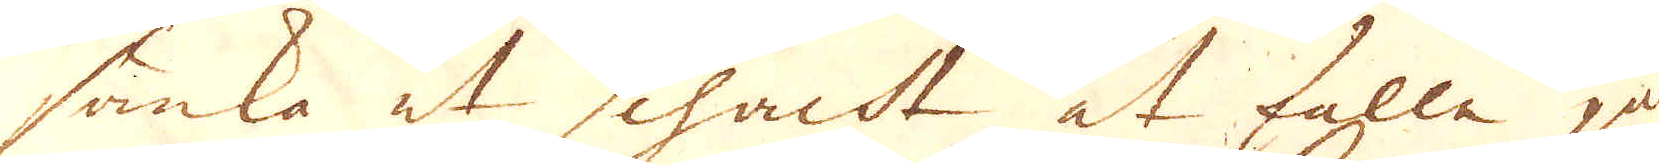sänka at schacht at falle på
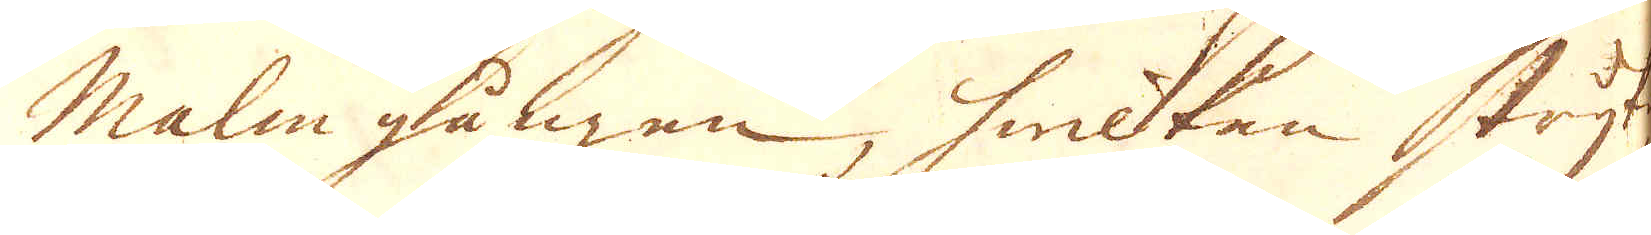Malm gången, hwilken stryker
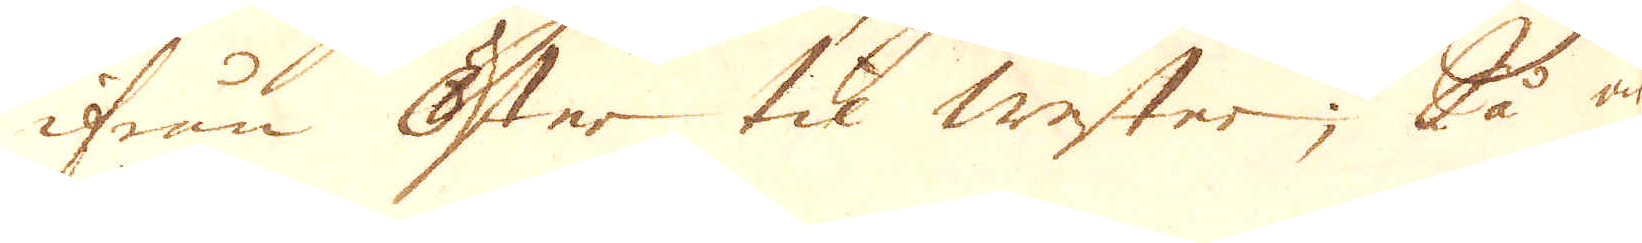ifrån Öster til wester; Så är
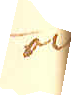och
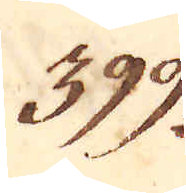399.
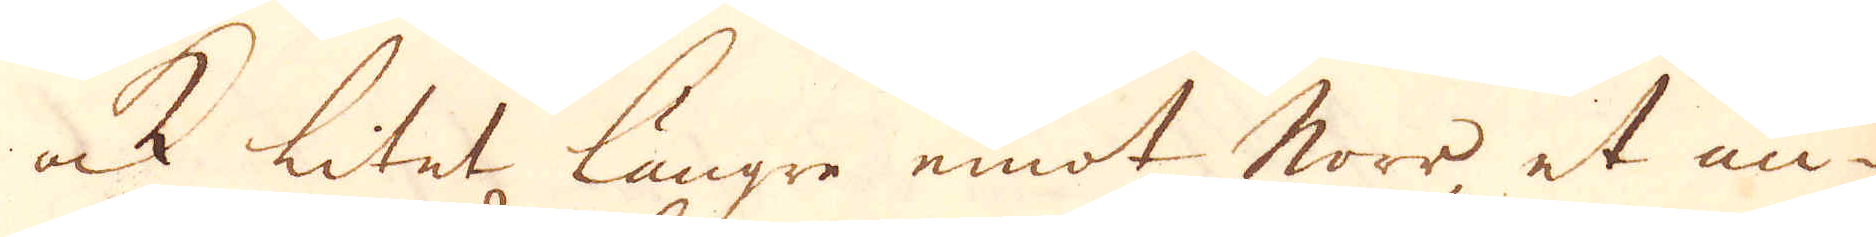ock litet längre emot Norr et an-
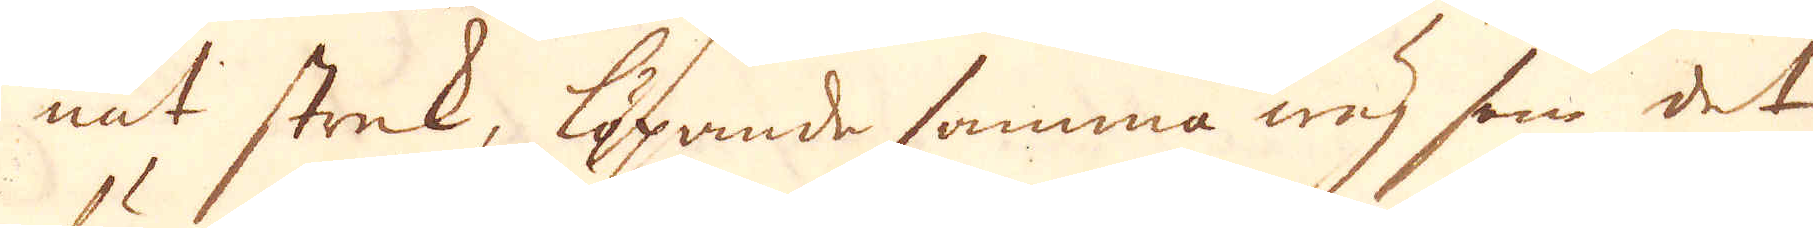nat strek, löpnde samma wäg som det
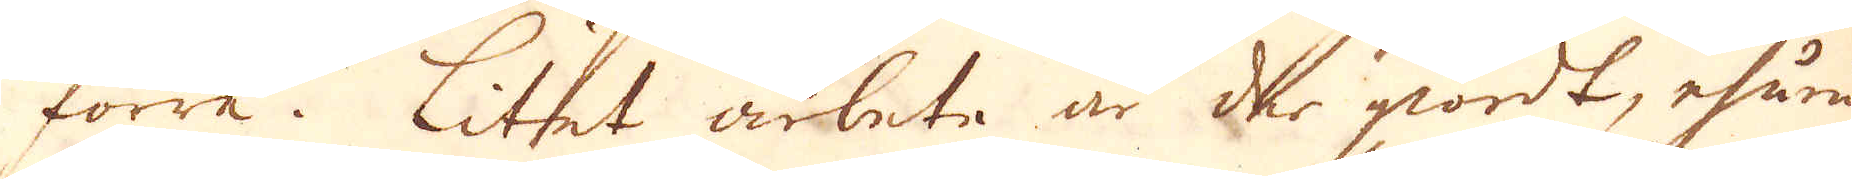förre. Litet arbete är der giordt, ehuru
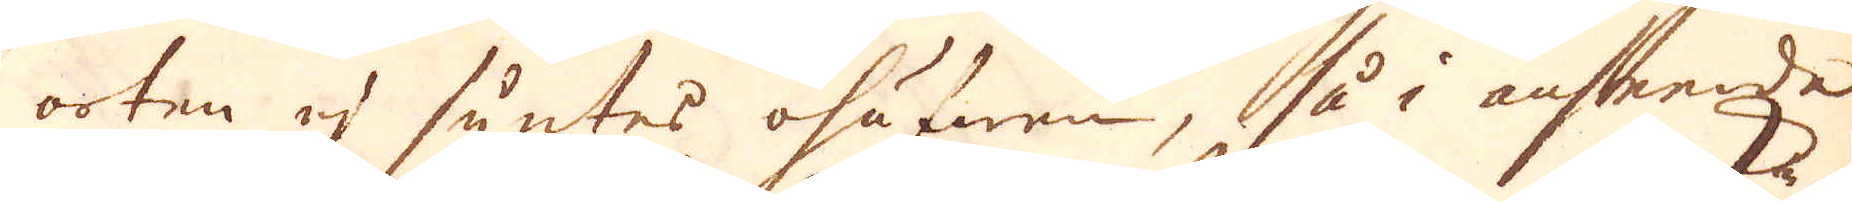orten ej syntes ohäfwen, så i anseende
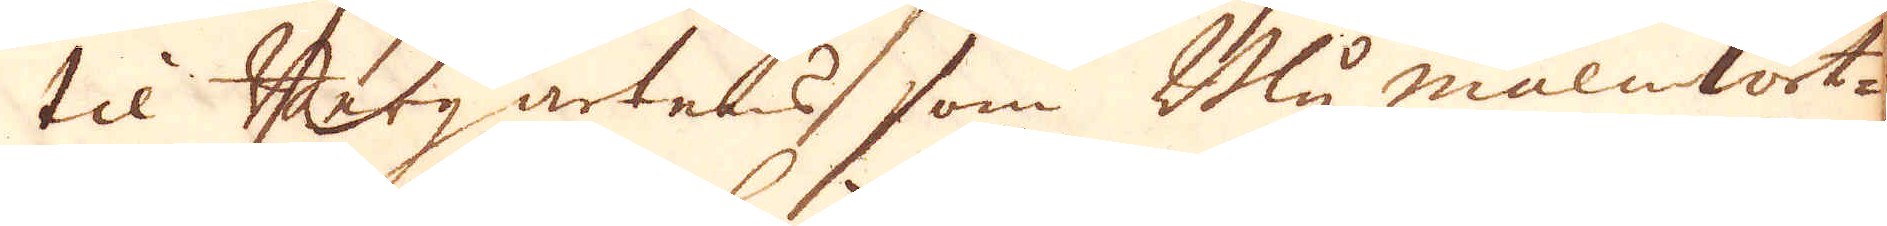til Bergartens, som Bly malmkört-
